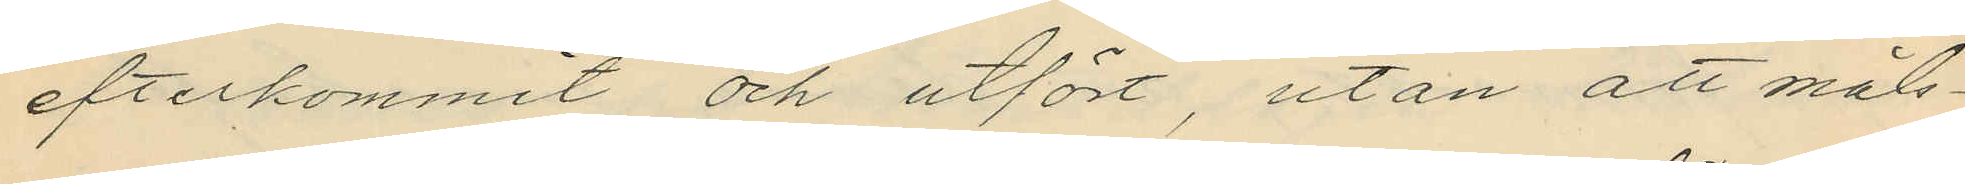efterkommit och utfört, utan att måls¬
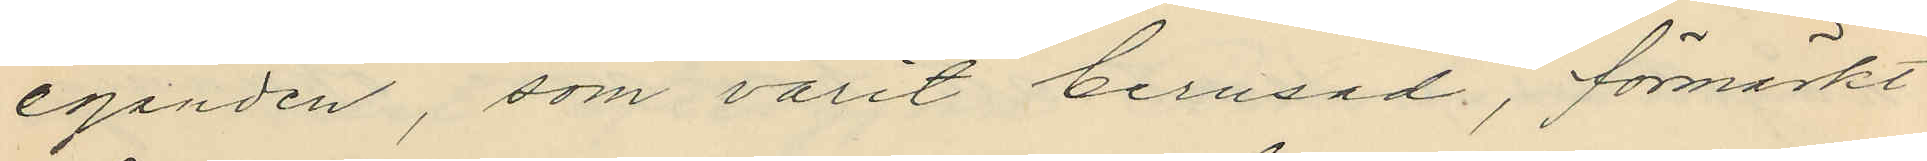eganden, som varit berusad, förmärkt
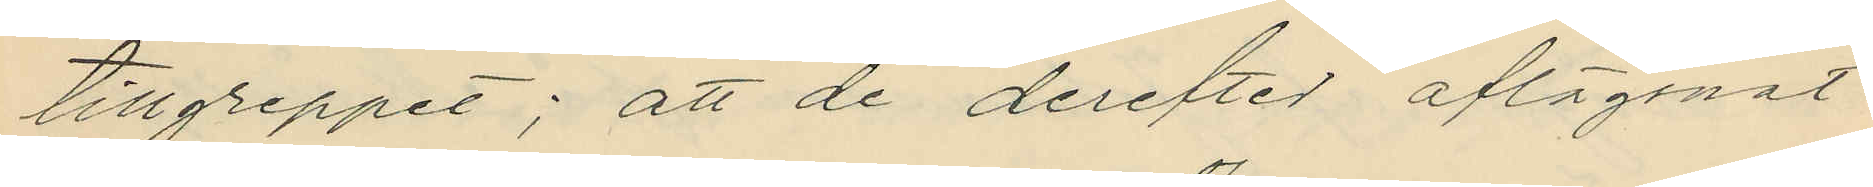tillgreppet; att de derefter aflägsnat
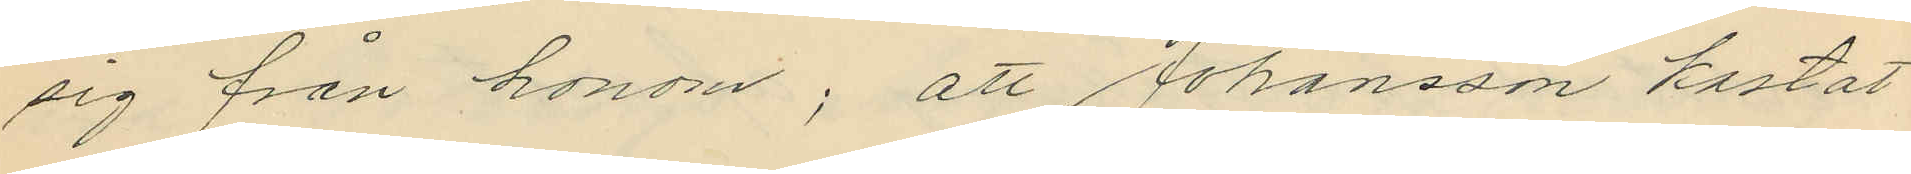sig från honom; att Johansson kastat
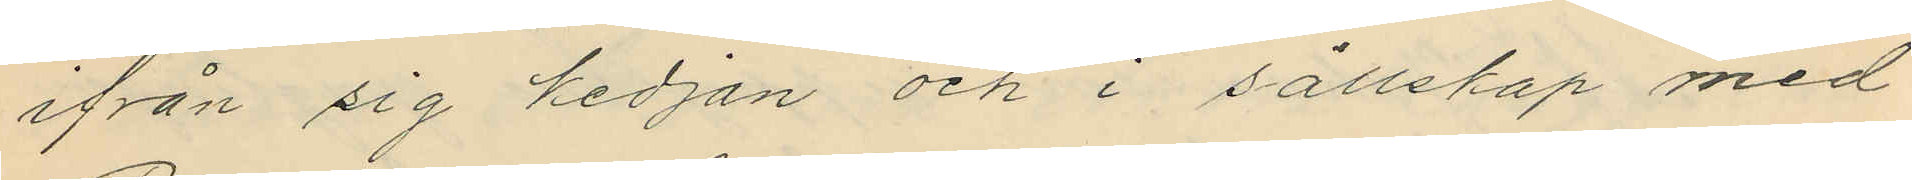ifrån sig kedjan och i sällskap med
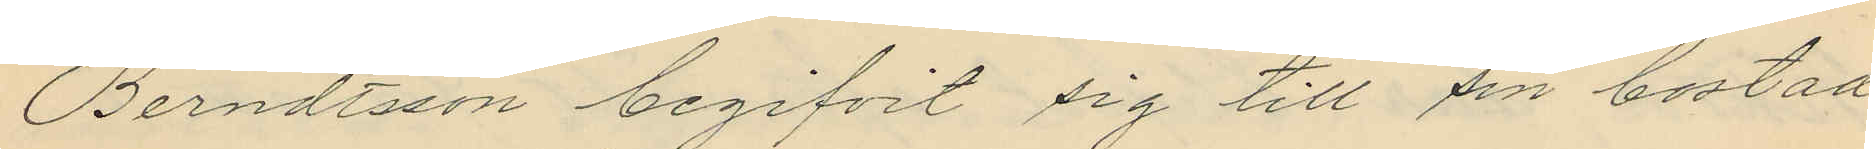Berndtsson begifvit sig till sin bostad
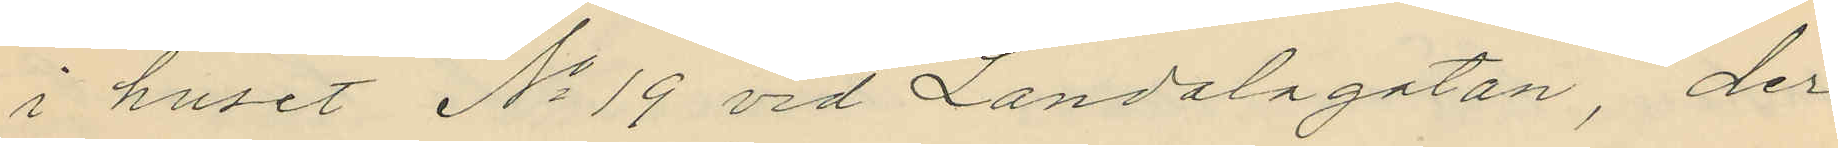i huset No 19 vid Landalagatan, der
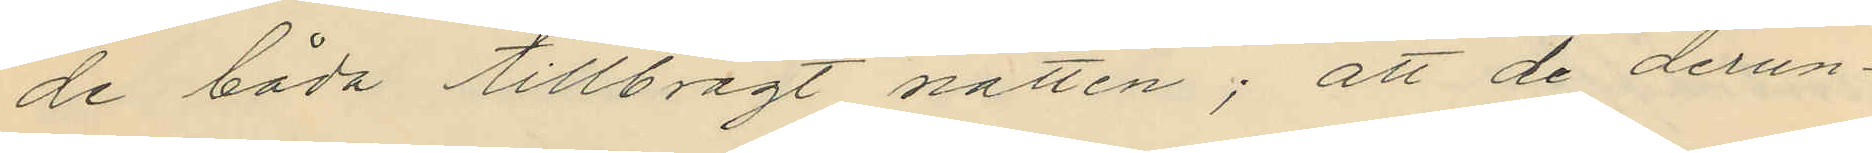de båda tillbragt natten; att de derun¬
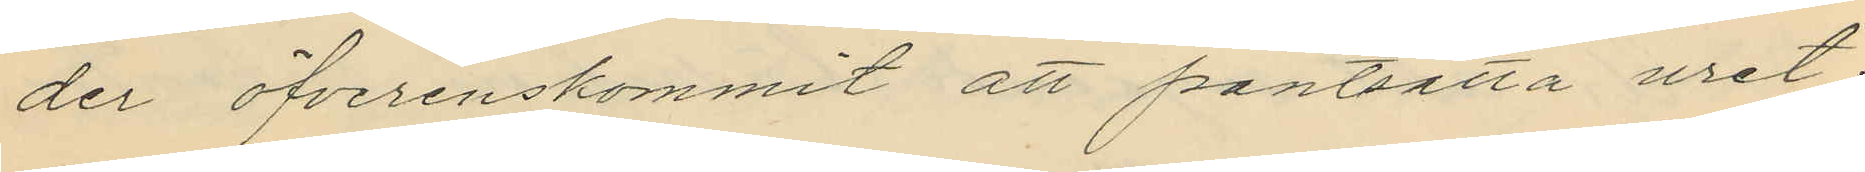der öfverenskommit att pantsätta uret;
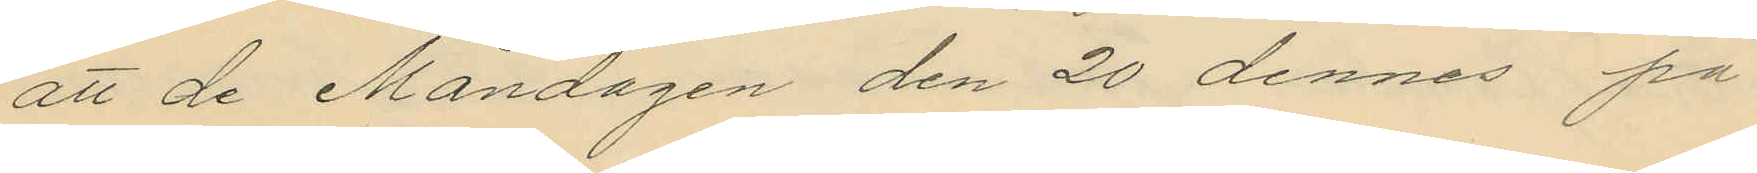att de Måndagen den 20 dennes på
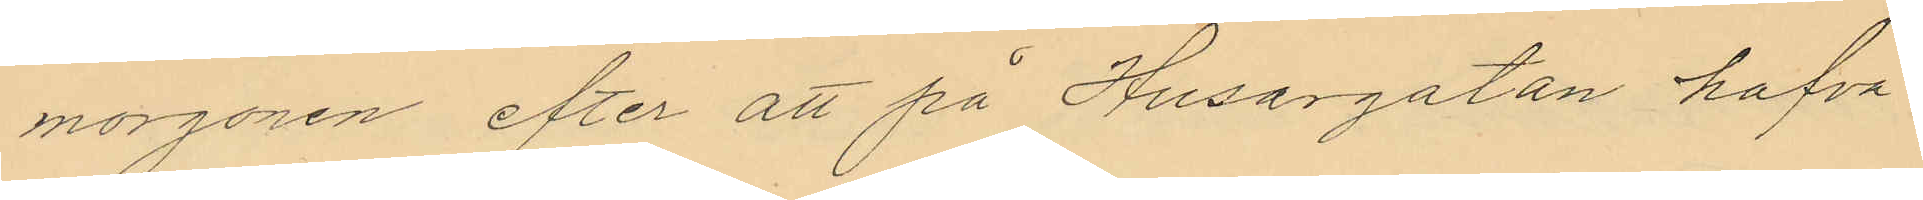morgonen efter att på Husargatan hafva
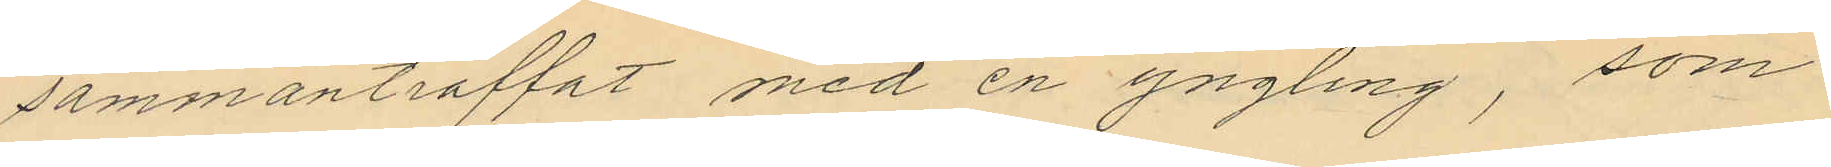sammanträffat med en yngling, som
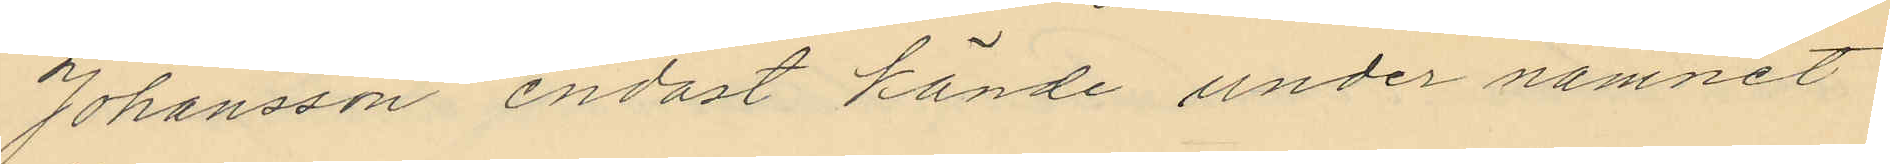Johansson endast kände under namnet
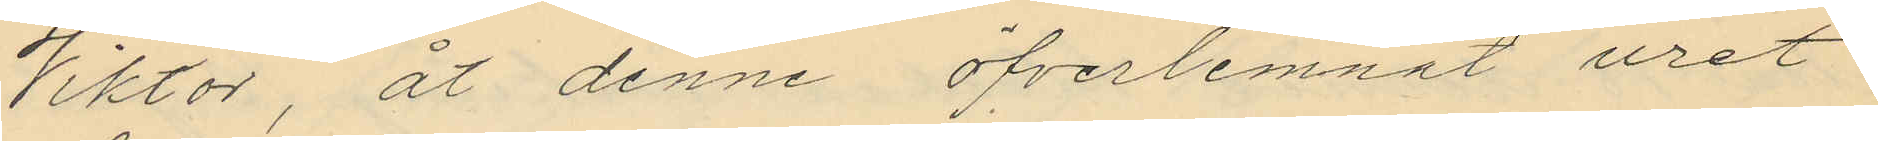Viktor, åt denne öfverlemnat uret
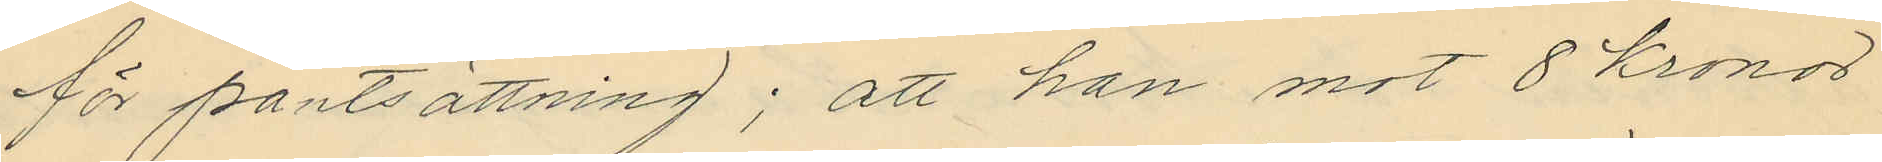för pantsättning; att han mot 8 kronor
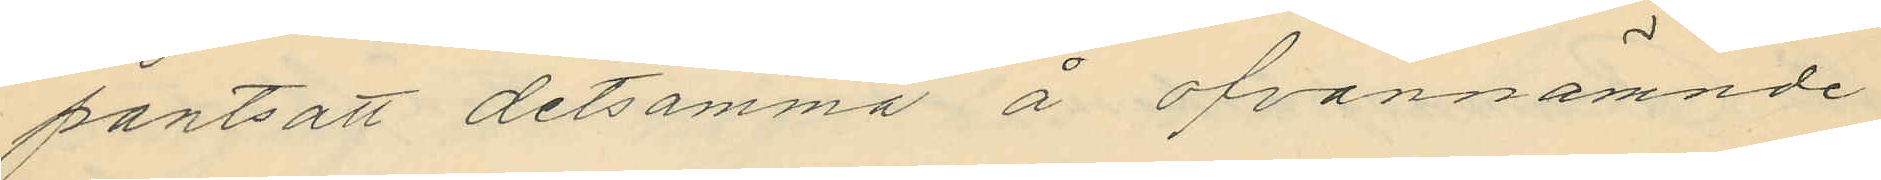pantsatt detsamma å ofvannämnde
